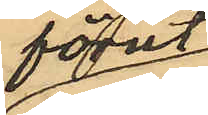förut
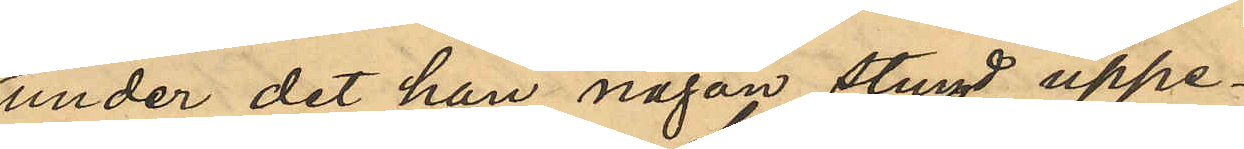under det han någon stund uppe¬
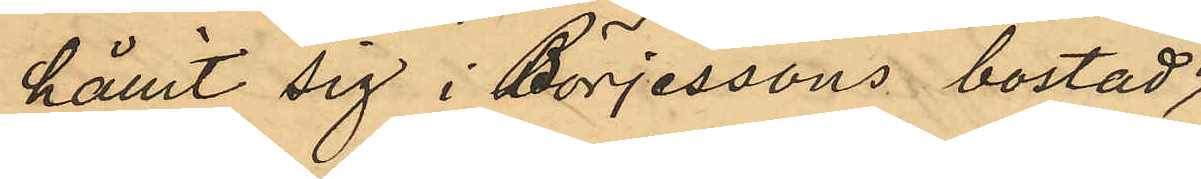hållit sig i Börjessons bostad
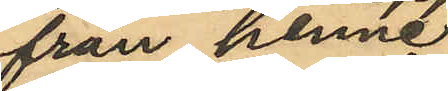från henne
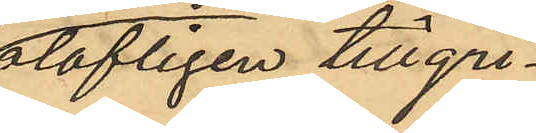olofligen tillgri¬
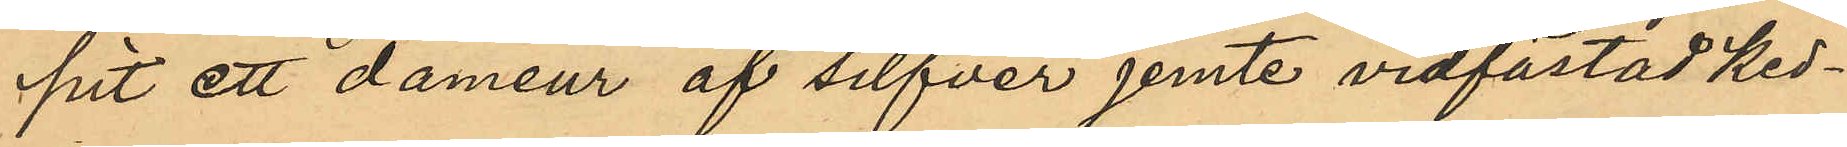pit ett dameur af silfver jemte vidfästad ked¬
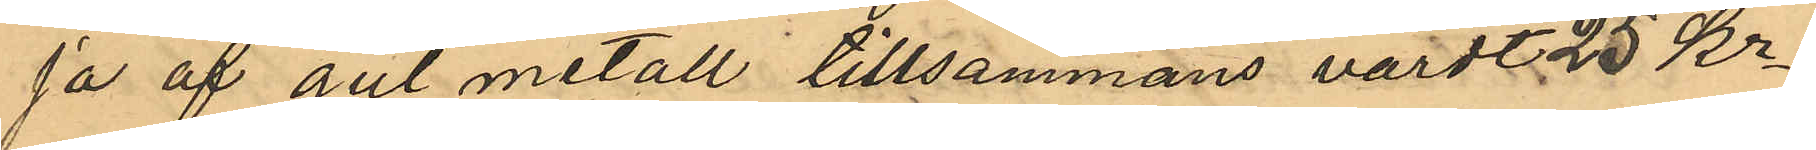ja af gul metall tillsammans värdt 25 Kr.
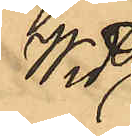Wid
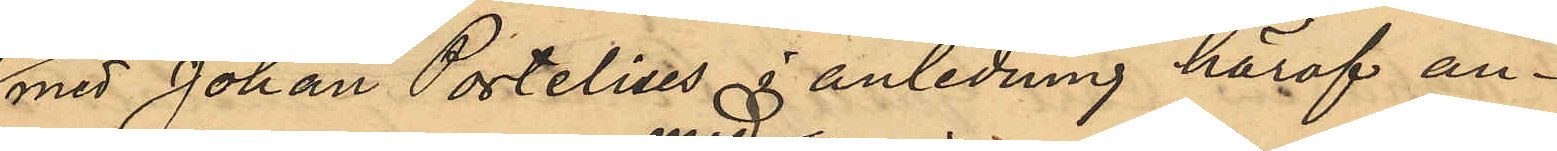med Johan Portelius i anledning häraf an¬
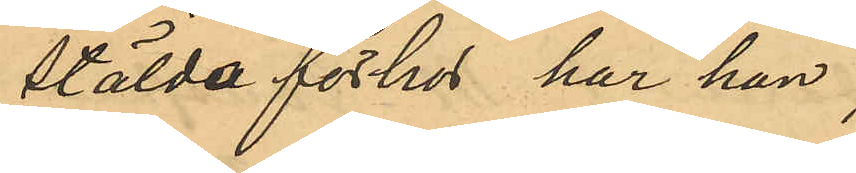stälda förhör har han
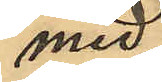med¬
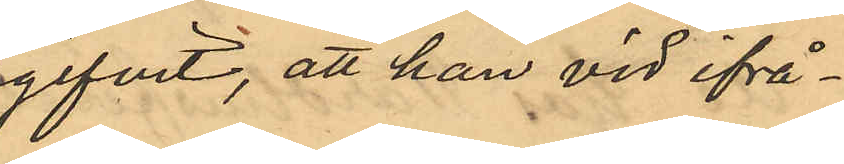gifvit, att han vid ifrå¬
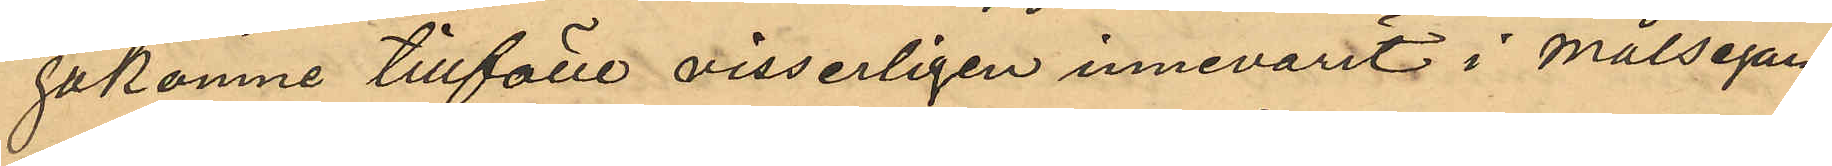gakomne tillfälle visserligen innevarit i målsegar¬
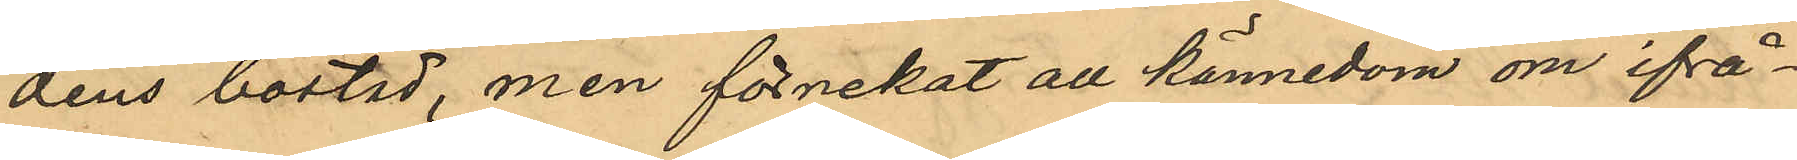dens bostad, men förnekat all kännedom om ifrå¬
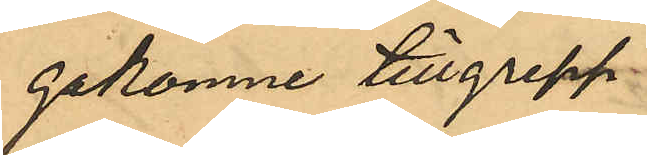gakomne tillgrepp.
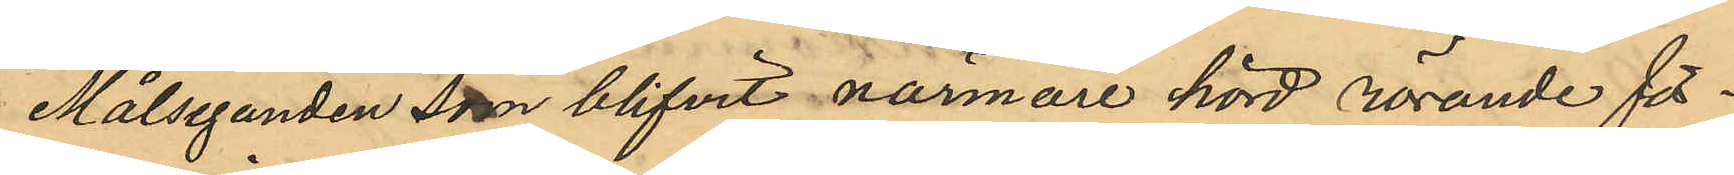Målseganden som blifvit närmare hörd rörande för¬
